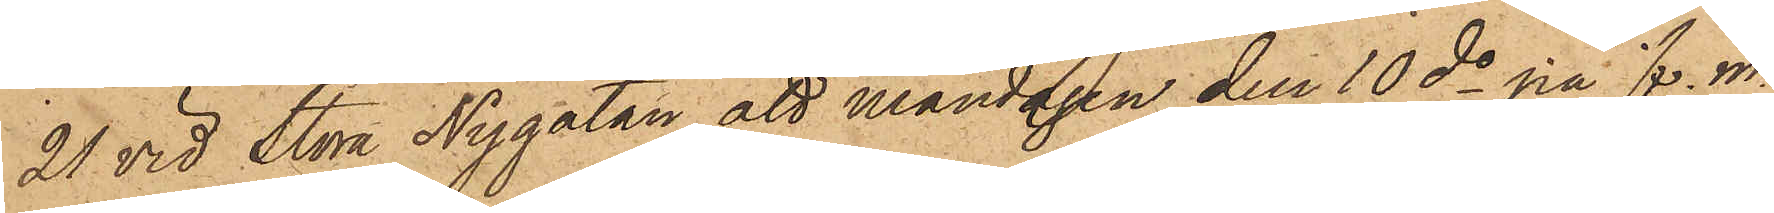21 vid Stora Nygatan, att måndagen den 10 ds på f. m.
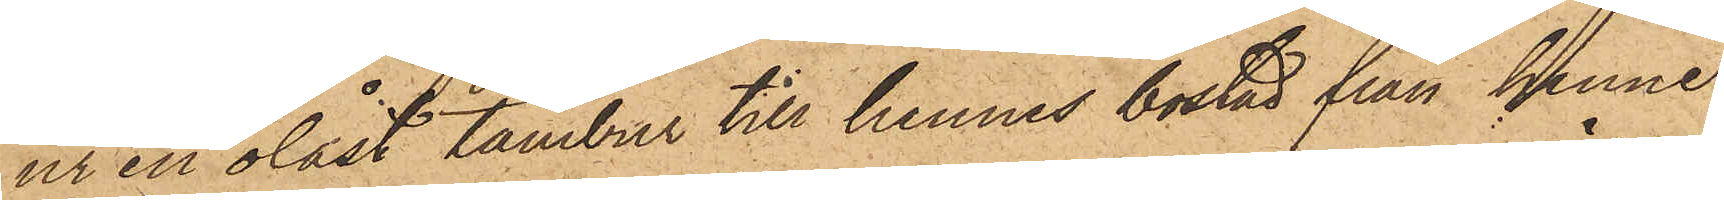ur en olåst tambur till hennes bostad från henne
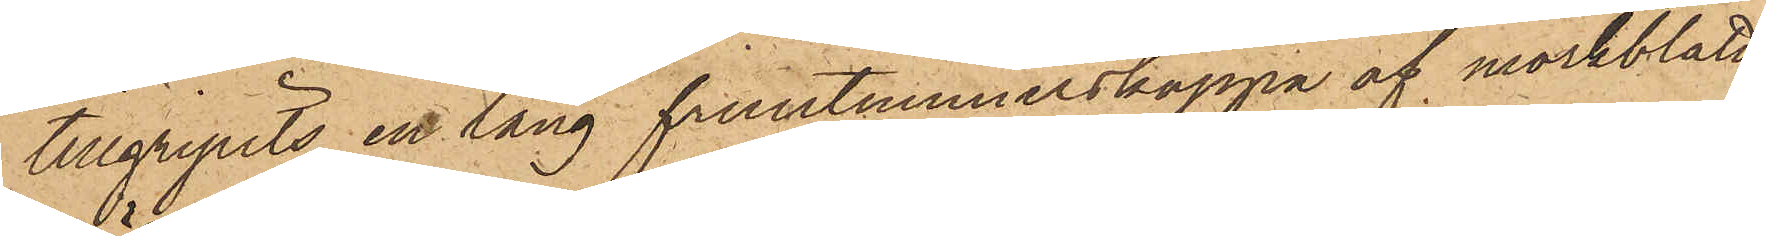tillgripits en lång fruntimmerskappa af mörkblått
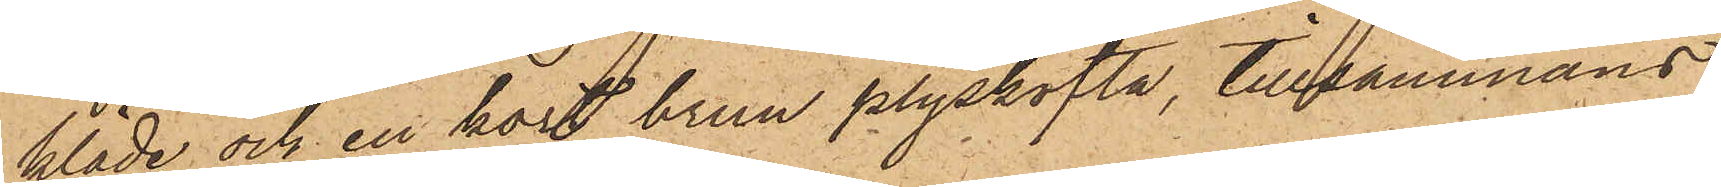kläde och en kort brun plyskofta, tillsammans
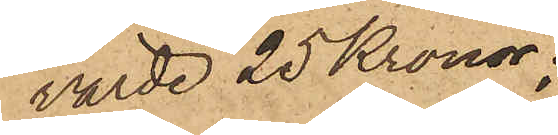värde 25 Kronor;
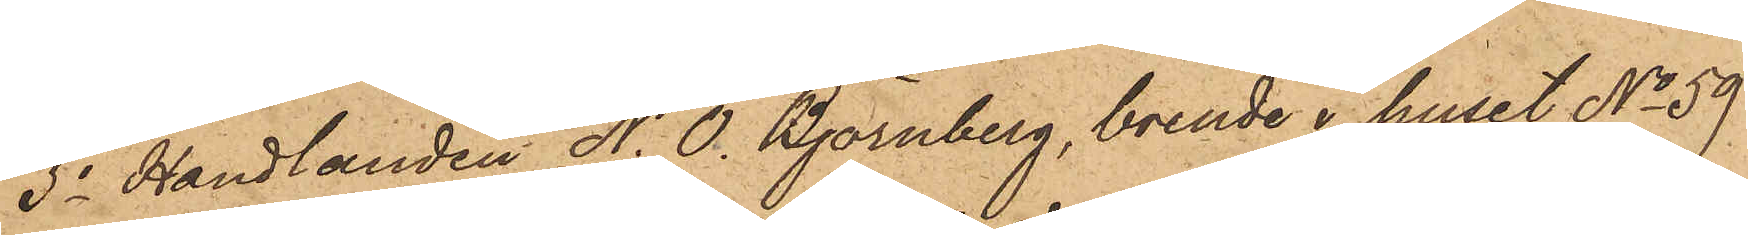3o Handlanden N. O. Björnberg, boende i huset No 59
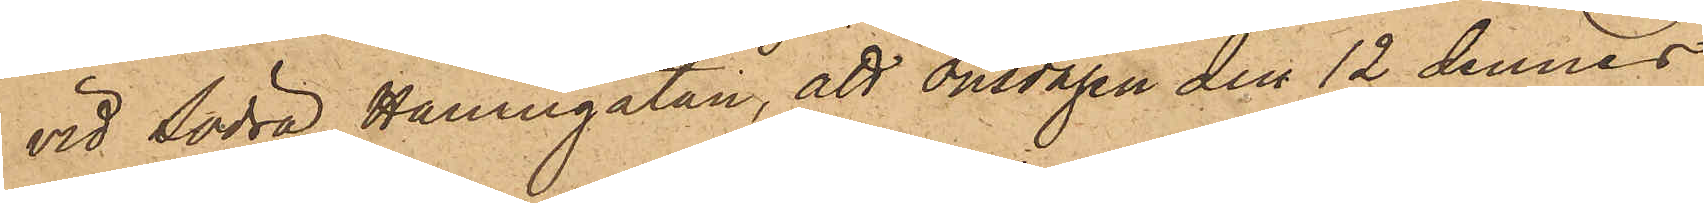vid Södra Hamngatan, att onsdagen den 12 dennes
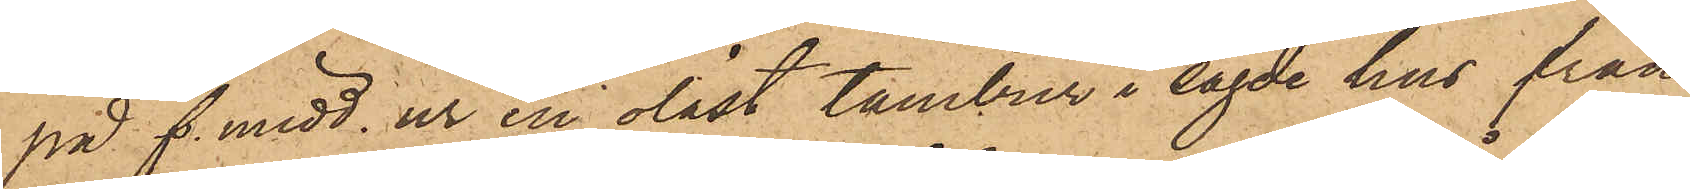på f. midd. ur en olåst tambur i sagde hus från
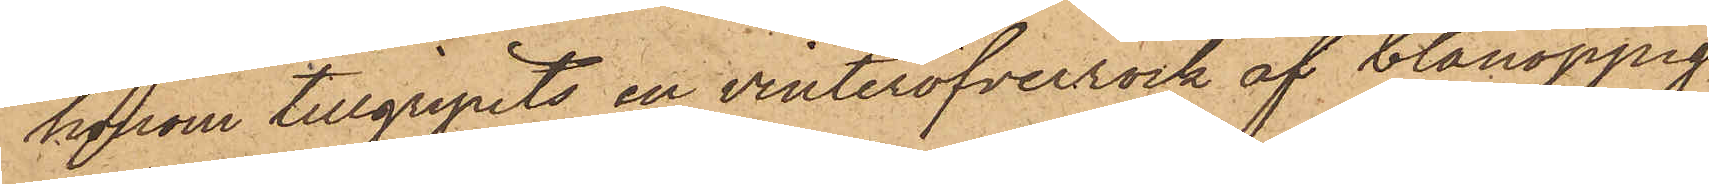honom tillgripits en vinteröfverrock af blånoppig
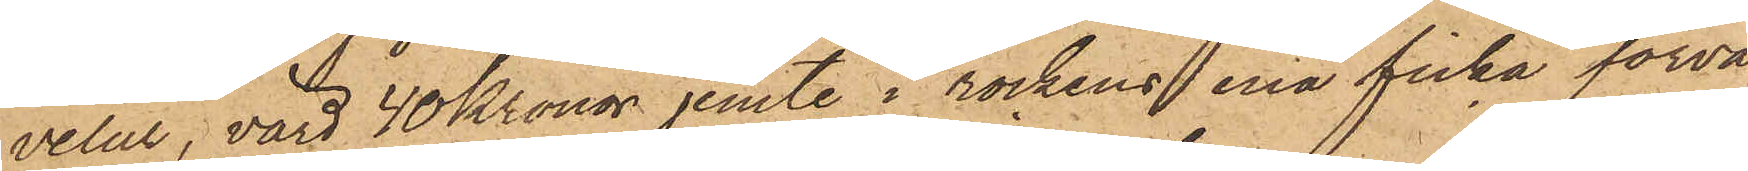velur, värd 40 Kronor jemte i rockens ena ficka förva¬
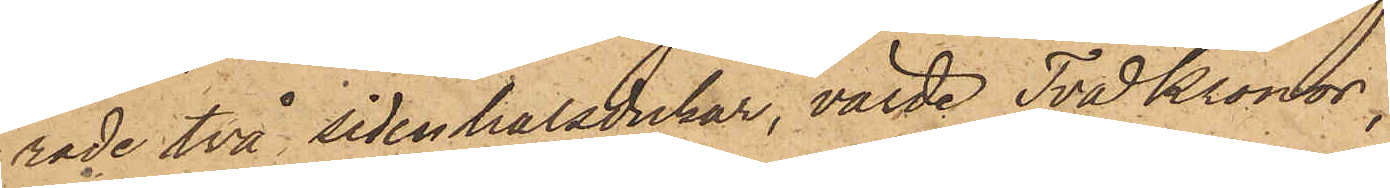rade två sidenhalsdukar, värde Två Kronor.
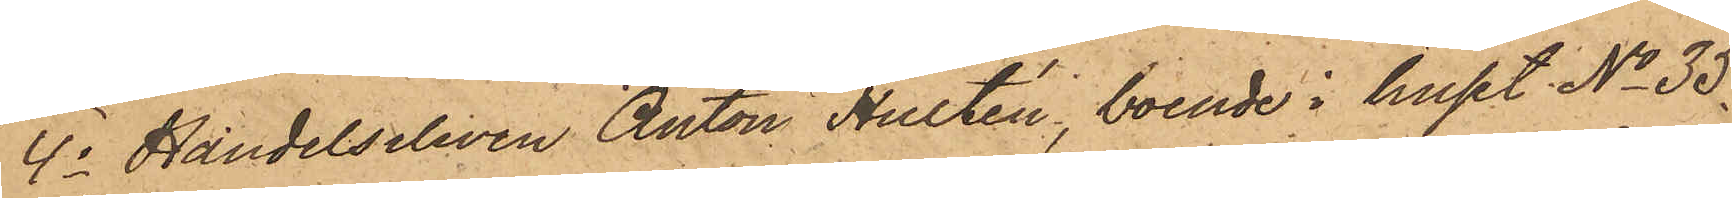4o Handelseleven Anton Hultén, boende i huset No 35
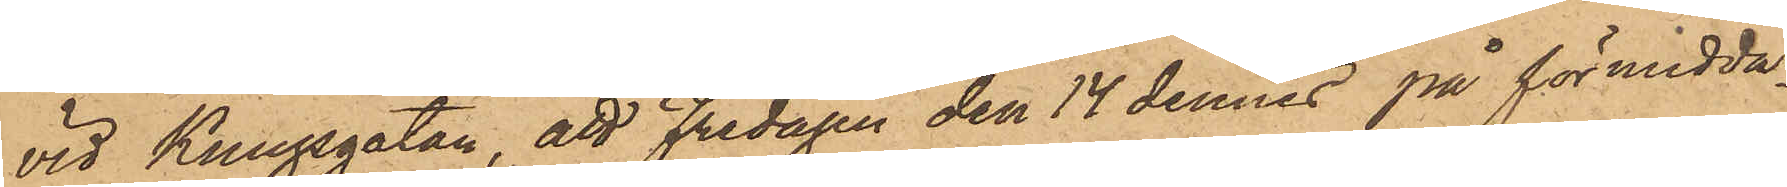vid Kungsgatan, att Fredagen den 14 dennes på förmidda¬
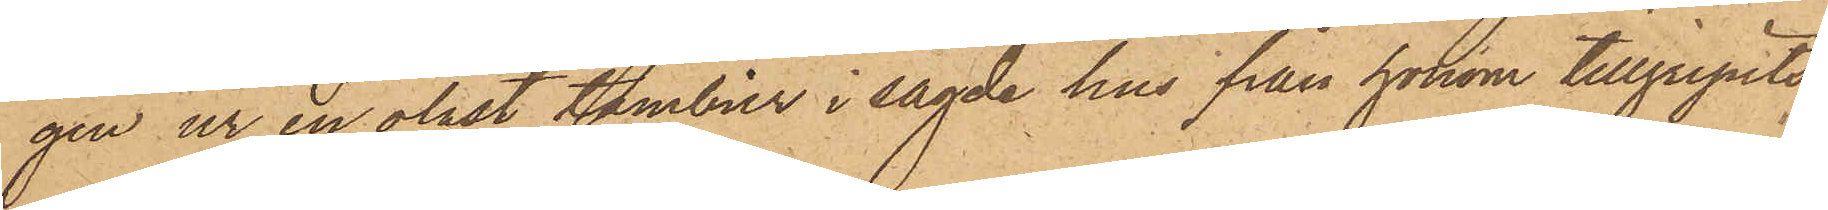gen ur en olåst tambur i sagde hus från honom tillgripits
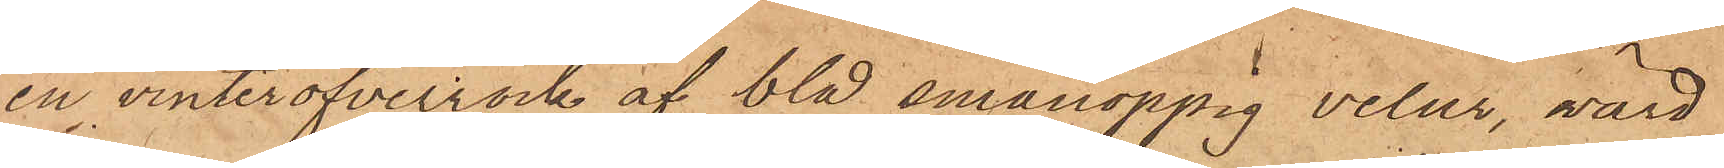en vinteröfverrock af blå smånoppig velur, värd
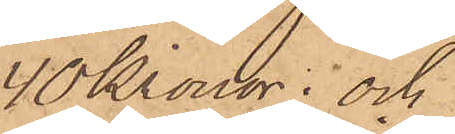40 Kronor; och
